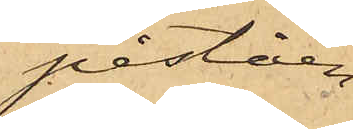påståen¬
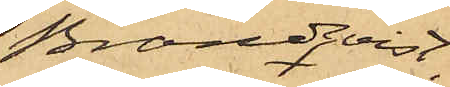Brandqvist
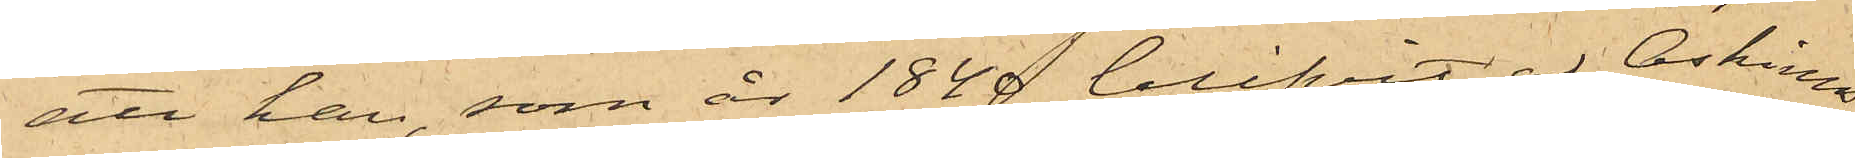att han, som år 1840 blifvit af Askims
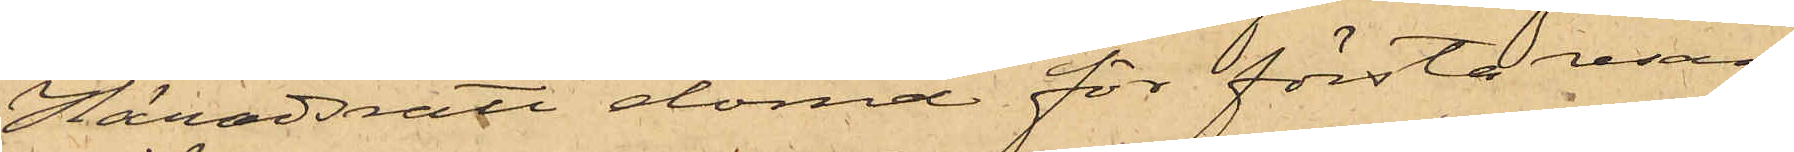Häradsrätt dömd för första resan
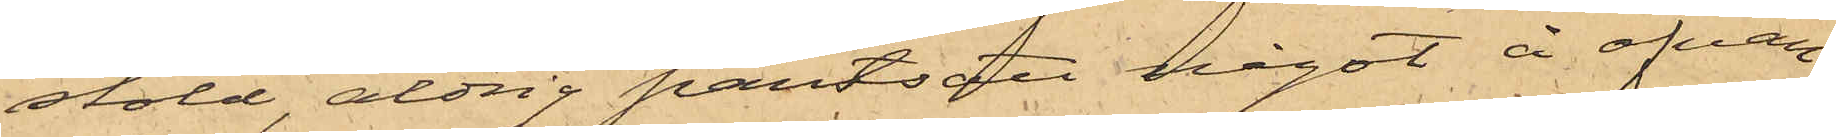stöld, aldrig pantsatt något å ofvan¬
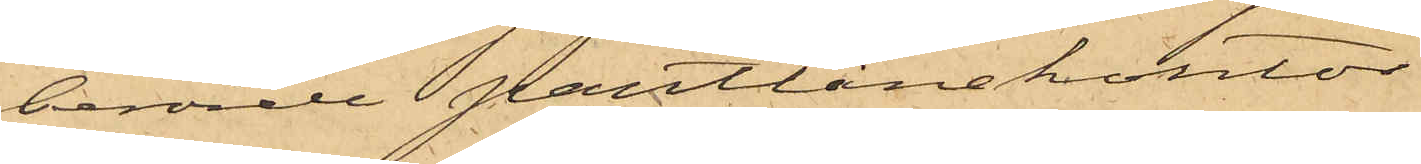berörde Pantlånekontor.
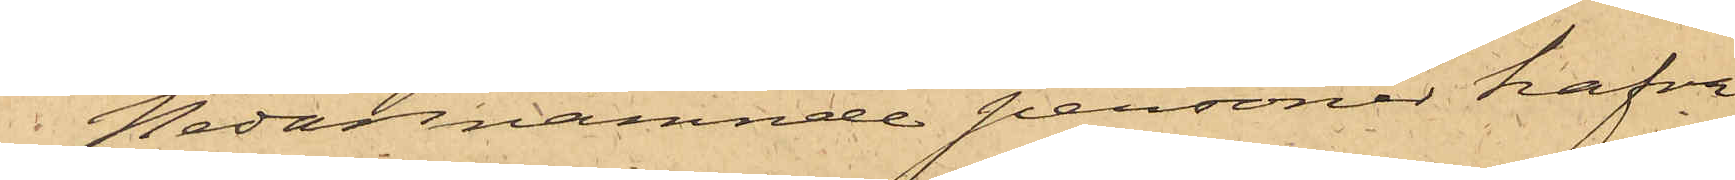Nedannämnde personer hafva
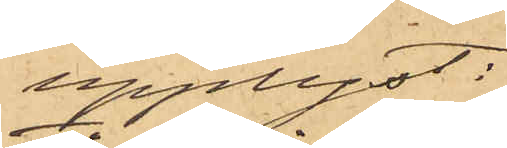upplyst:
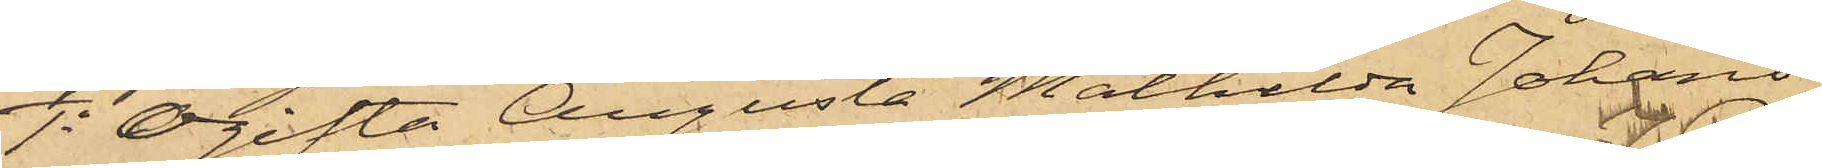1o Ogifta Augusta Mathilda Johans¬
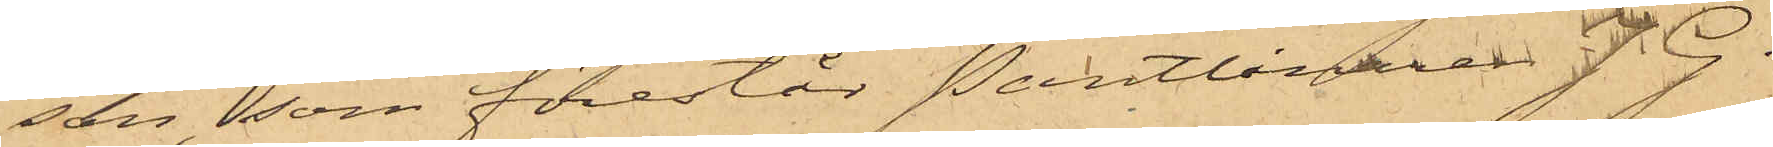son, som förestår Pantlånaren J. G.
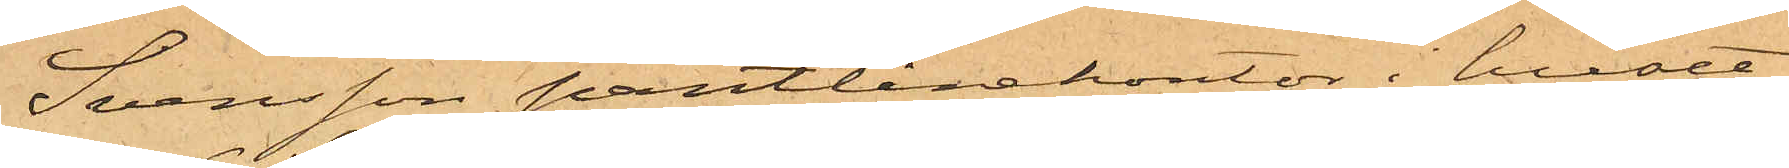Svensson pantlånekontor i huset
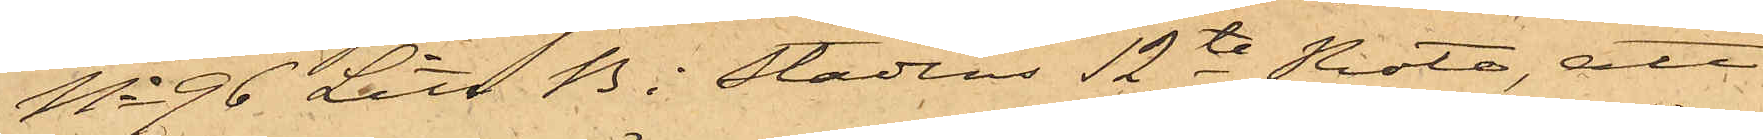No 96 Litt B i stadens 12te Rote, att
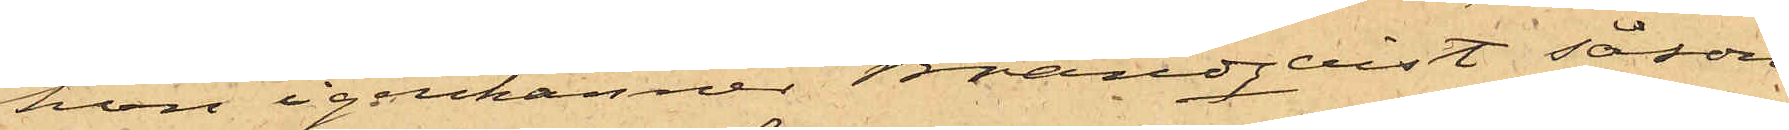hon igenkänner Brandqvist såsom
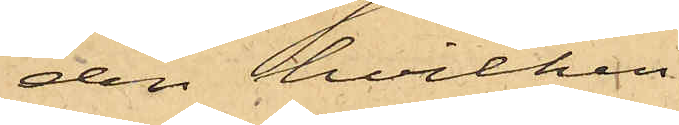den hvilken
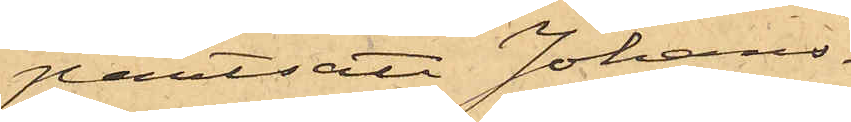pantsatt Johans¬
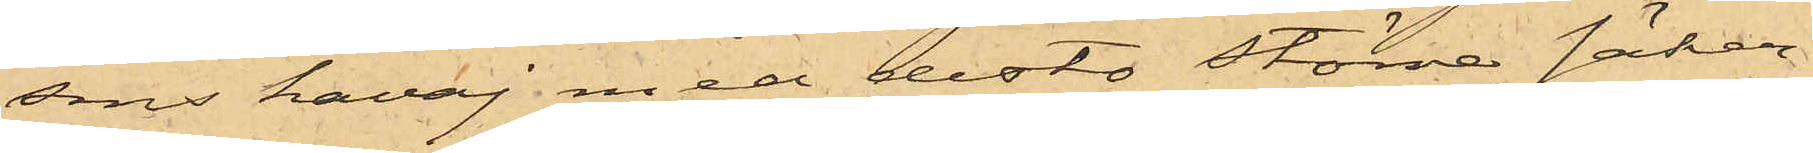sons kavaj med desto större säker¬
